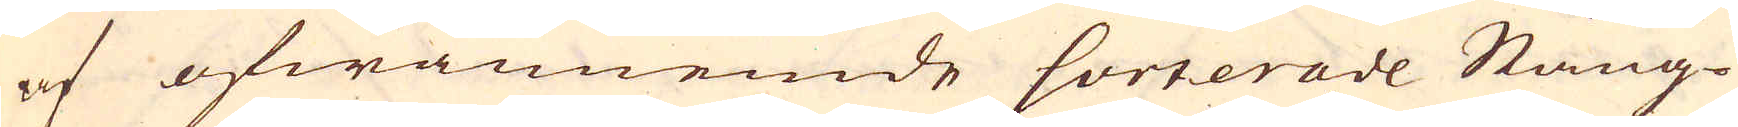af ofwannemde sorterade Stång-
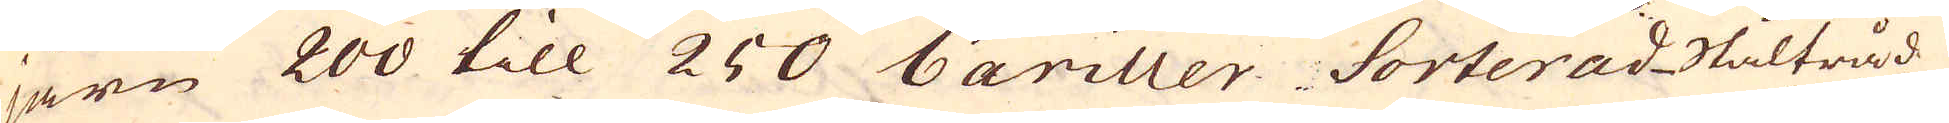järn 200 till 250 bariller Sorterad Ståltråd
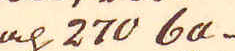och 270 ba-
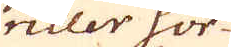riller sor-
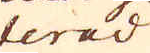terad
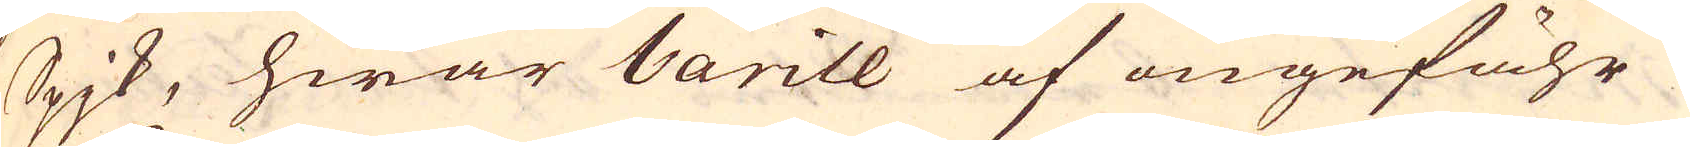Spjk, hwar barill af ungefähr
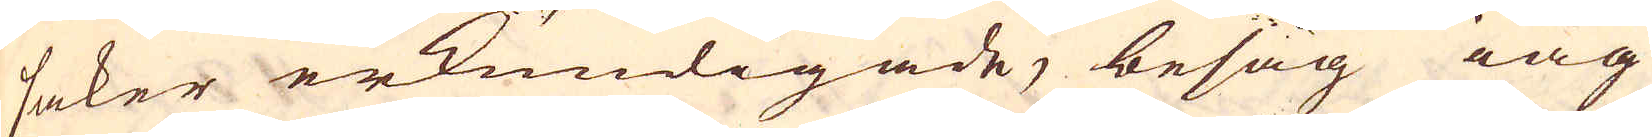saker erkundigade, besåg iag
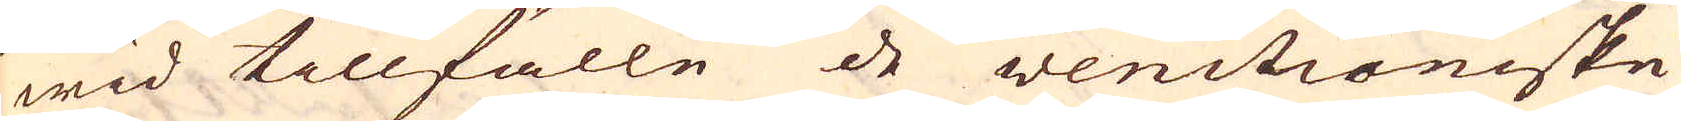wid tillfälle de Venitianiske
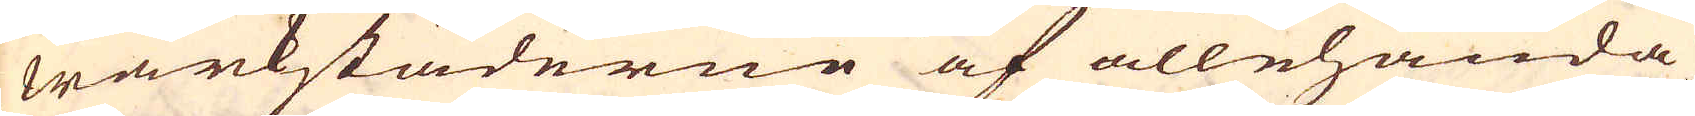wärkstäderne af allehanda
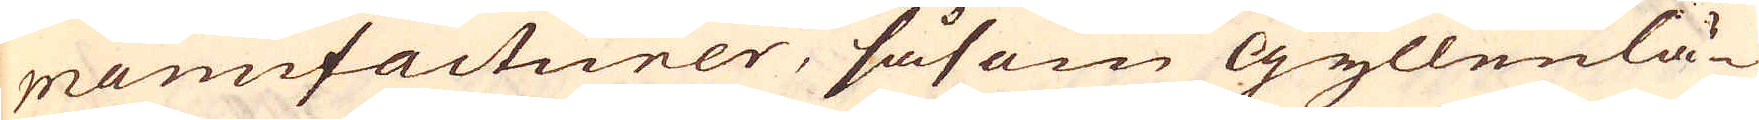manufacturer, såsom Gyllenlä-
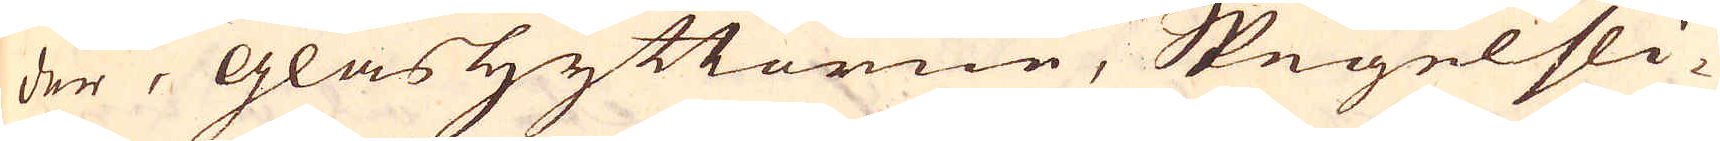der, glashyttorne, Spegelsli-
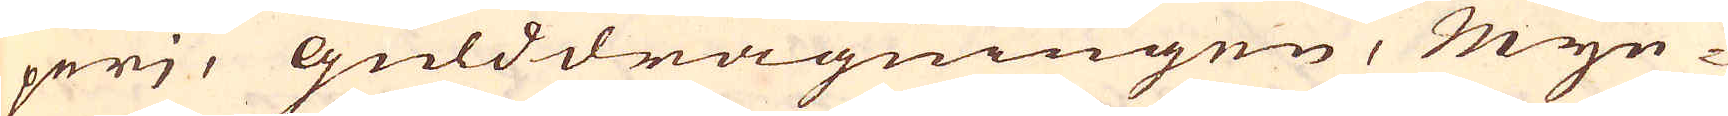perj, gulddragningen, myn-
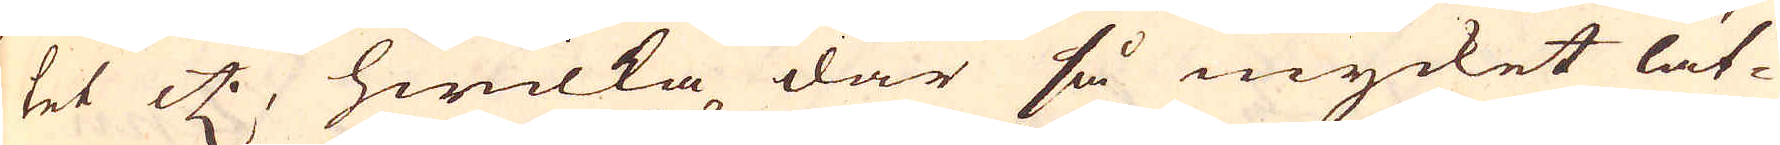tet etc, hwilka där så mycket lät-
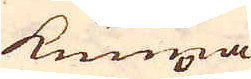kunna
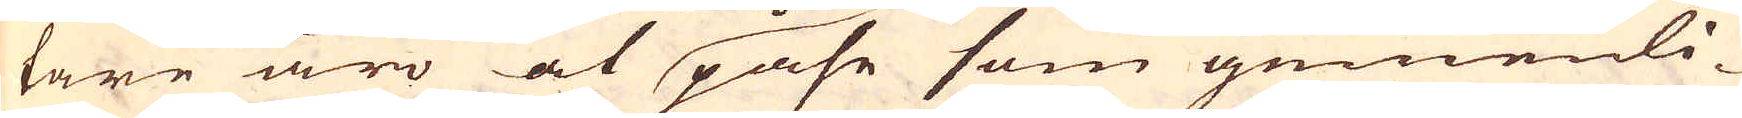tare äro at påse som gemenli-
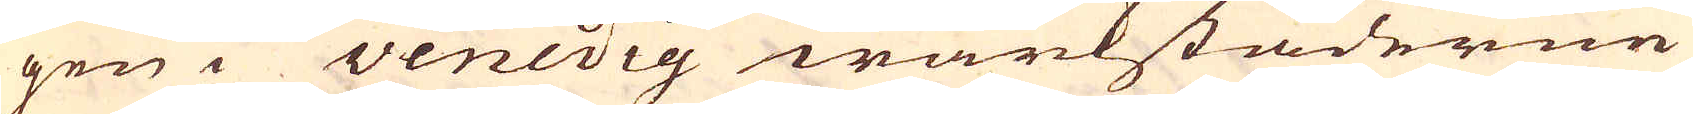gen i Venedig wärkstäderne
